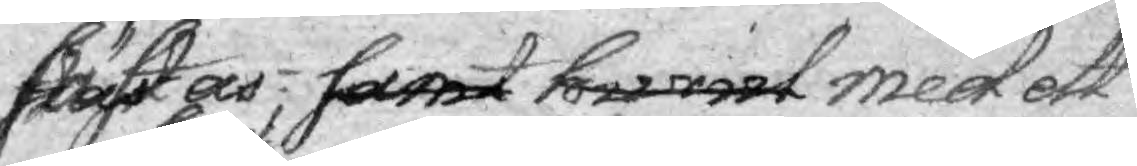fästas, samt hwad med ett
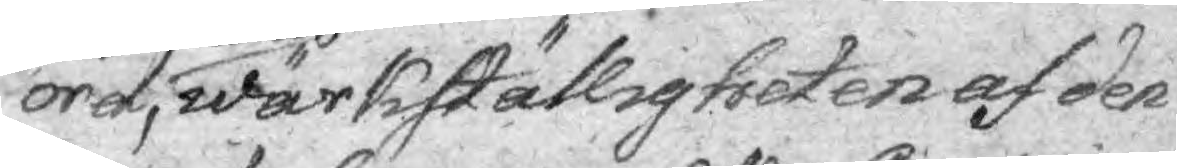ord, hwad wärkställigheten af den
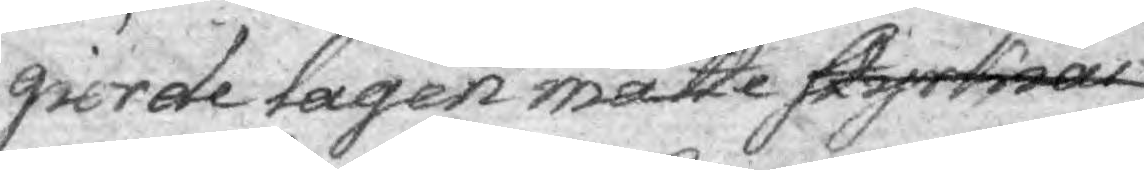giorde lagen måtte styrkias
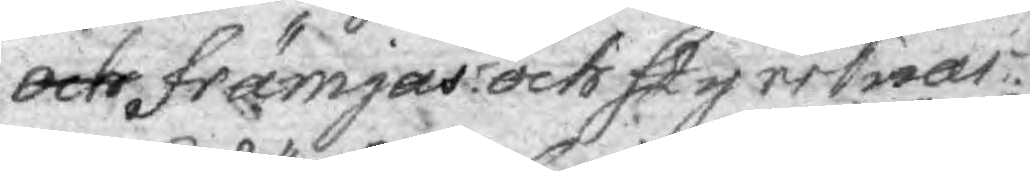och främjas och styrkias.
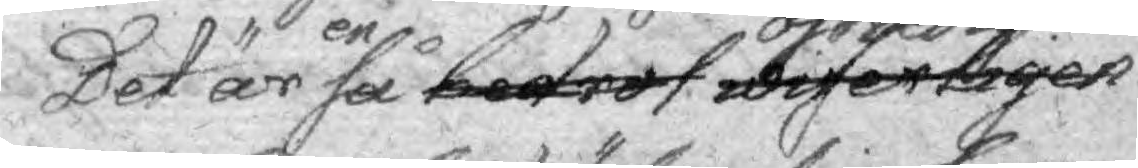Det är en så bedrof wiserligen ostridig
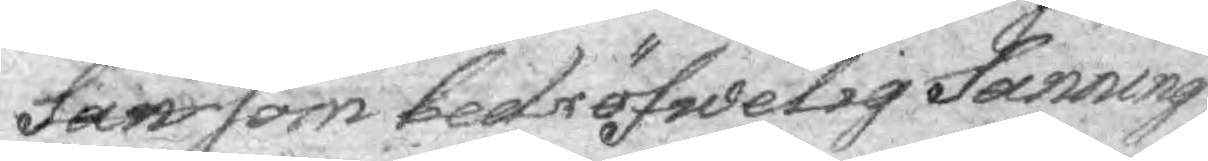san som bedröfwelig Sanning
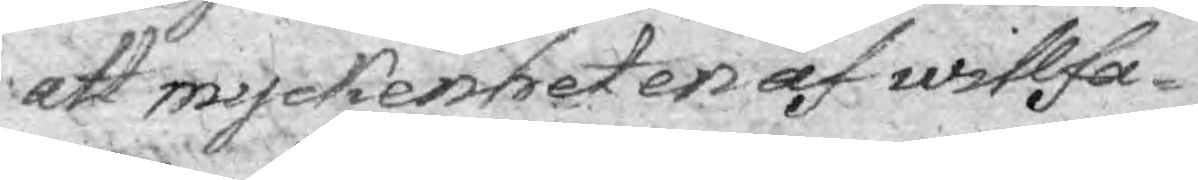att myckenheten af willfa¬
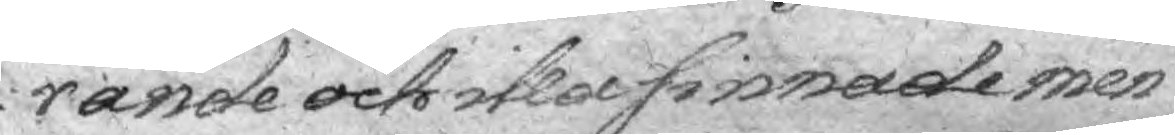rande och illa sinnade men¬
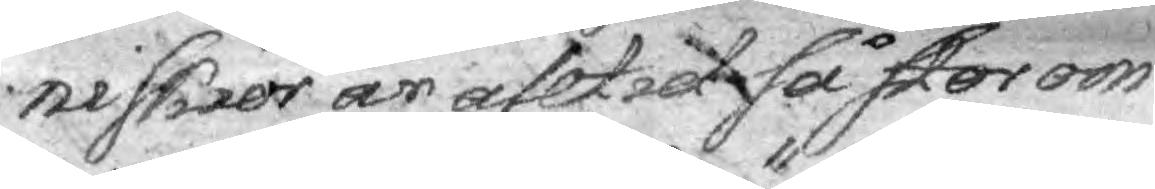niskior är alltid så stor om
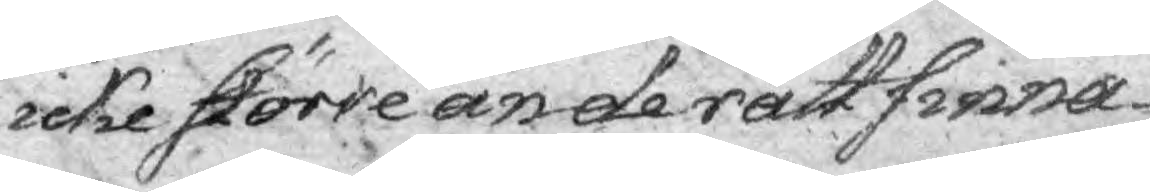icke större än de rättsinna¬
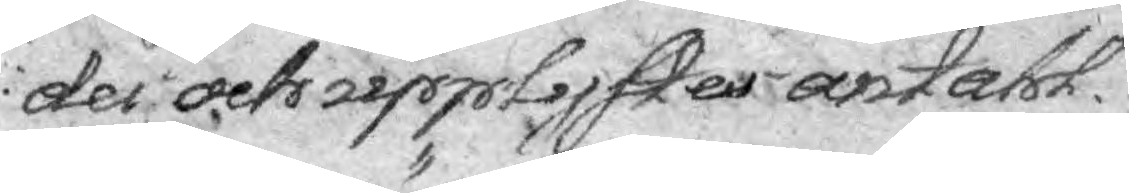der och upplyster antall.
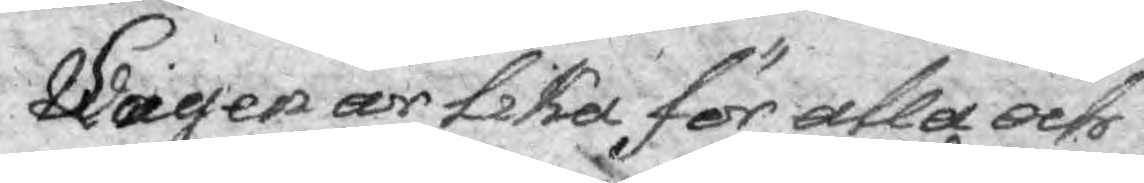Lagen är lika för alla och
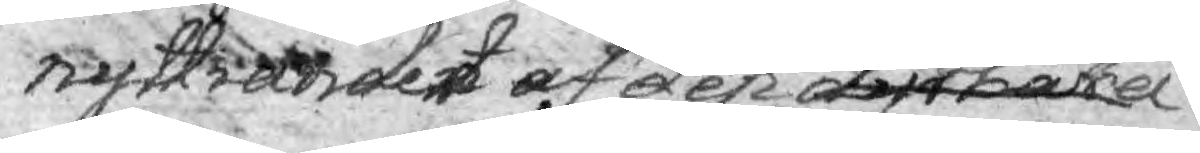nyttiandet af den dyrbara owärderliga
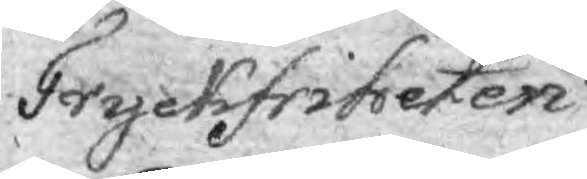Tryckfritheten
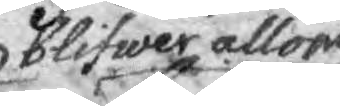blifwer allom
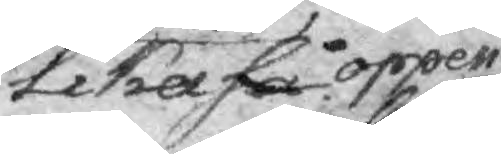lika så öppen.
